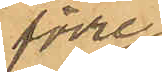de förre
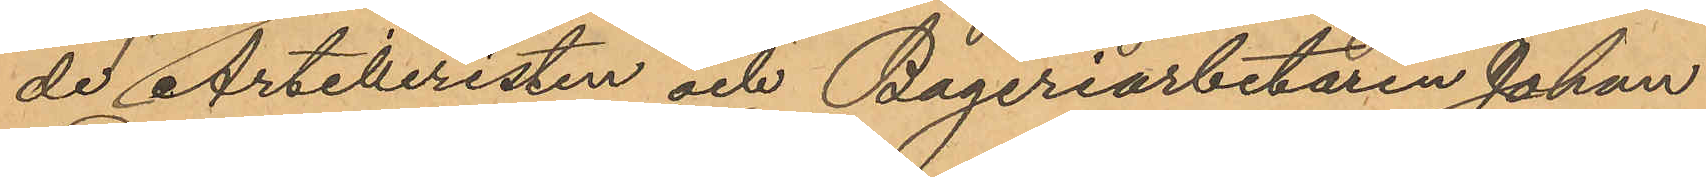 Artilleristen och Bageriarbetaren Johan
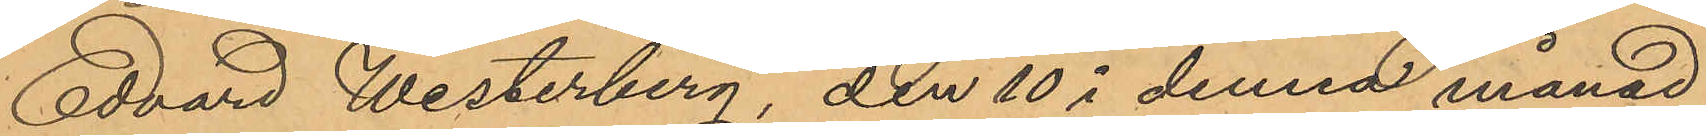Edvard Westerberg, den 10 i denna månad
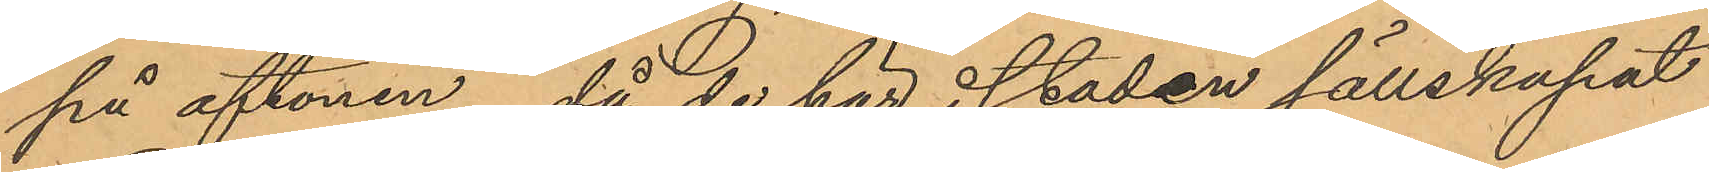på aftonen, då de här i staden sällskapat
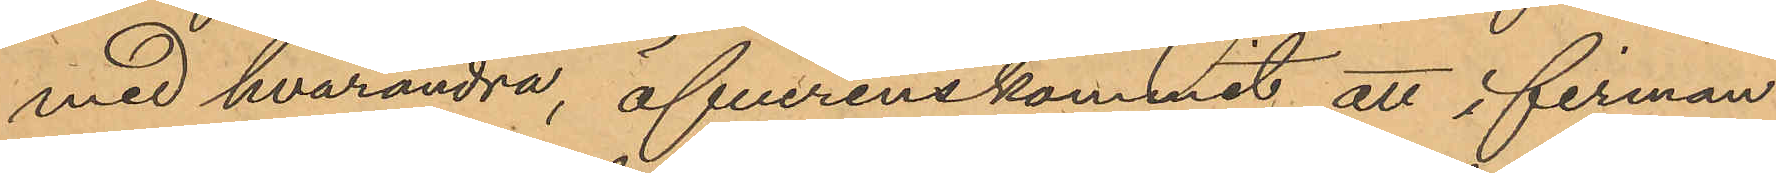med hvarandra, öfverenskommit att i firman
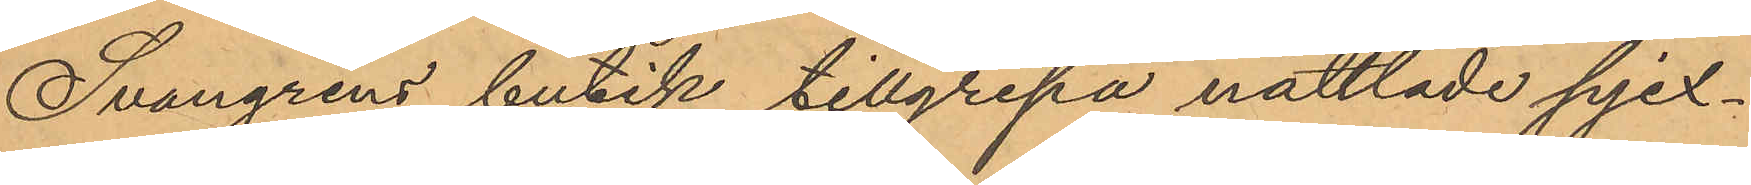Svangrens butik tillgripa nåttlade pjex¬
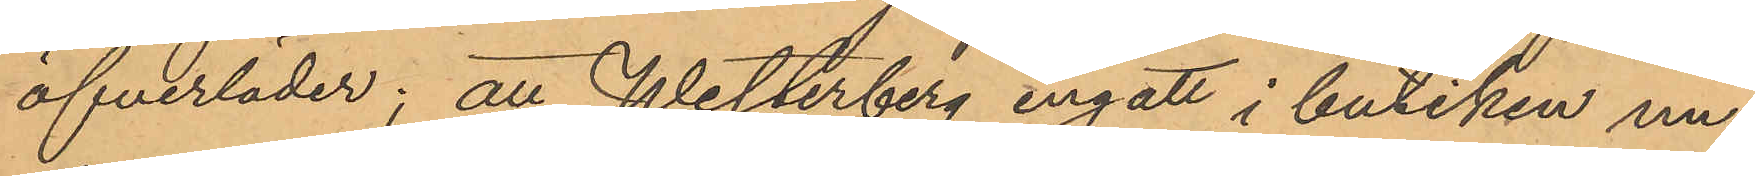öfverläder; att Westerberg ingått i butiken un¬
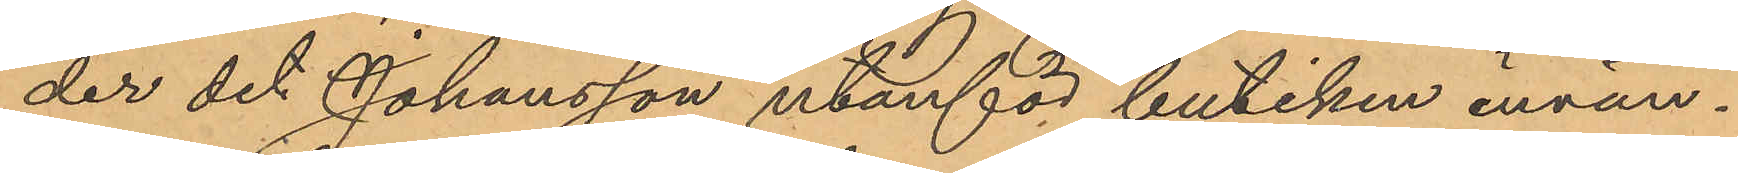der det Johansson utanför butiken invän¬
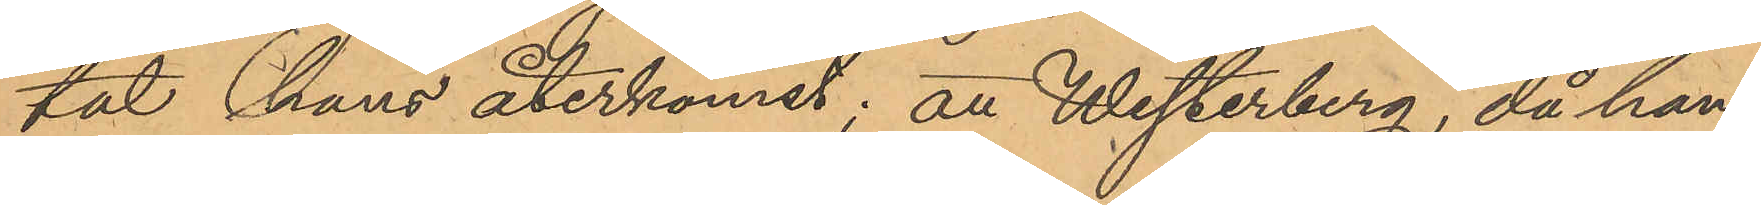tat hans återkomst; att Westerberg, då han
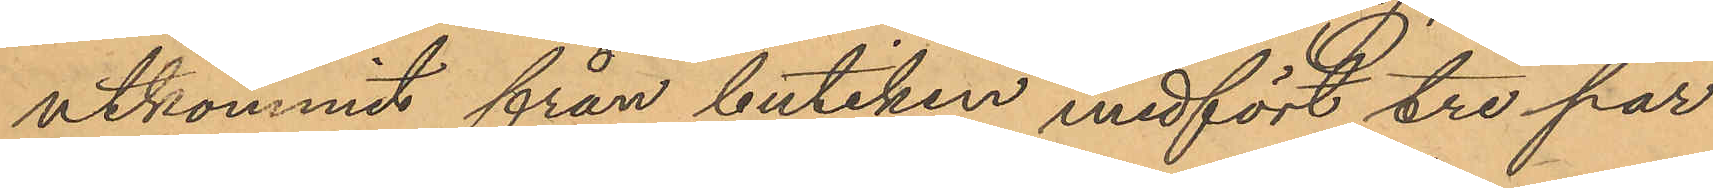utkommit från butiken medfört tre par
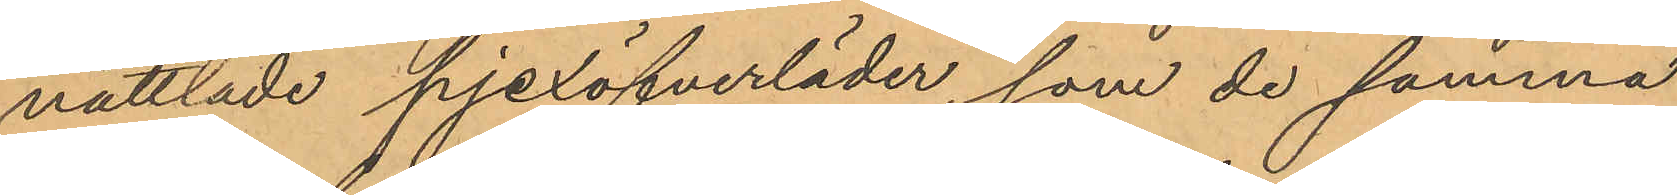nåttlade pjexöfverläder, som de samma
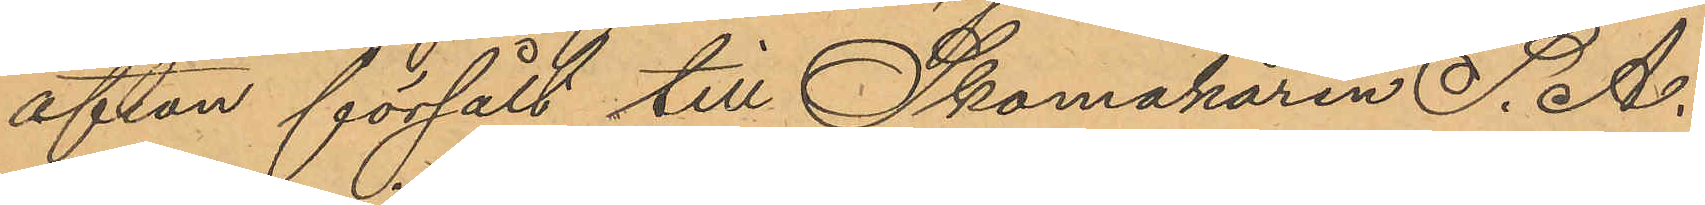afton försålt till Skomakaren S. A.
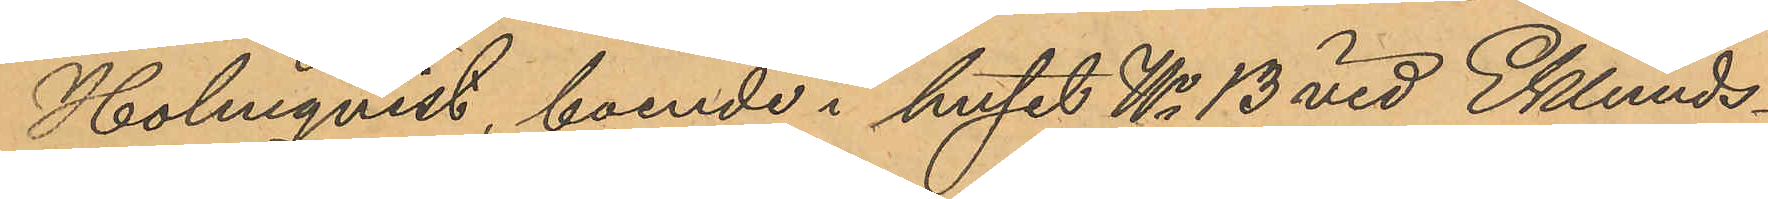Holmqvist, boende i huset No 13 vid Eklunds¬
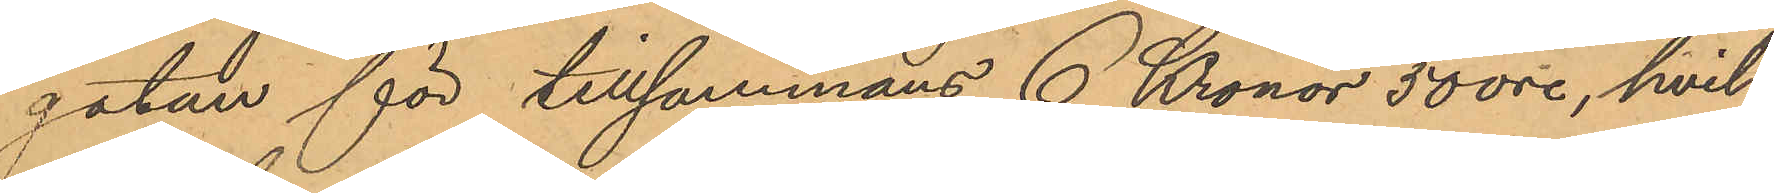gatan för tillsammans 6 Kronor 50 öre, hvil¬
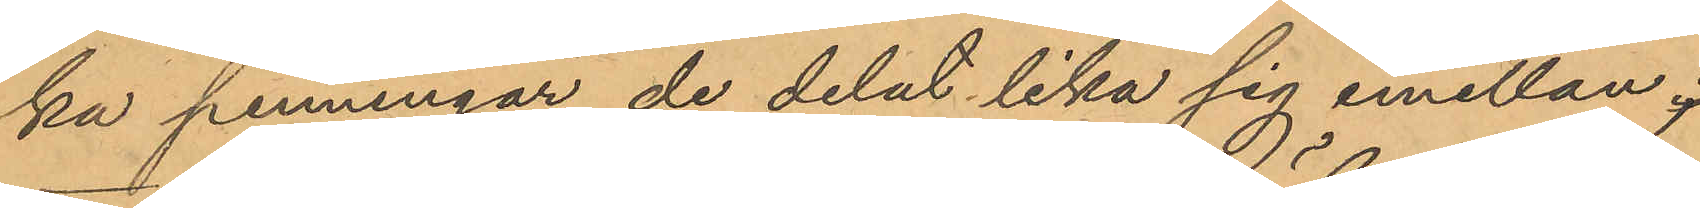ka penningar de delat lika sig emellan;
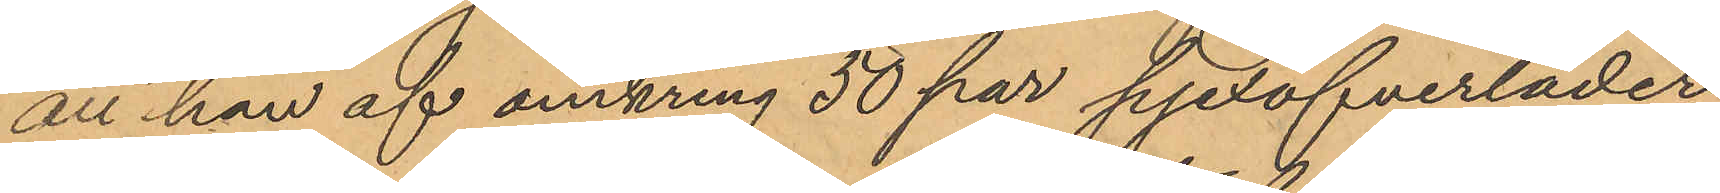att han af omkring 50 par pjexöfverläder
